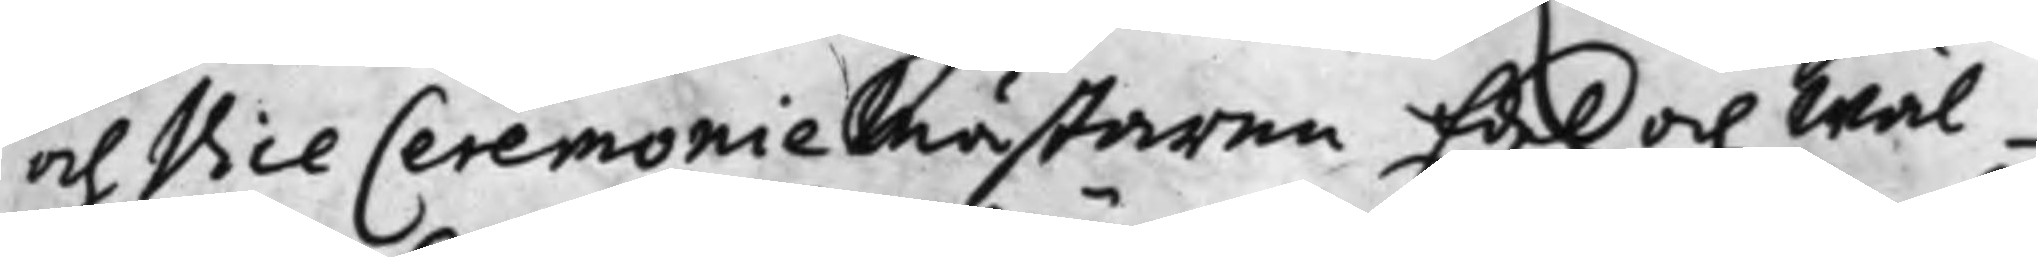och Vice Ceremoniemästaren Edel och Wäl¬
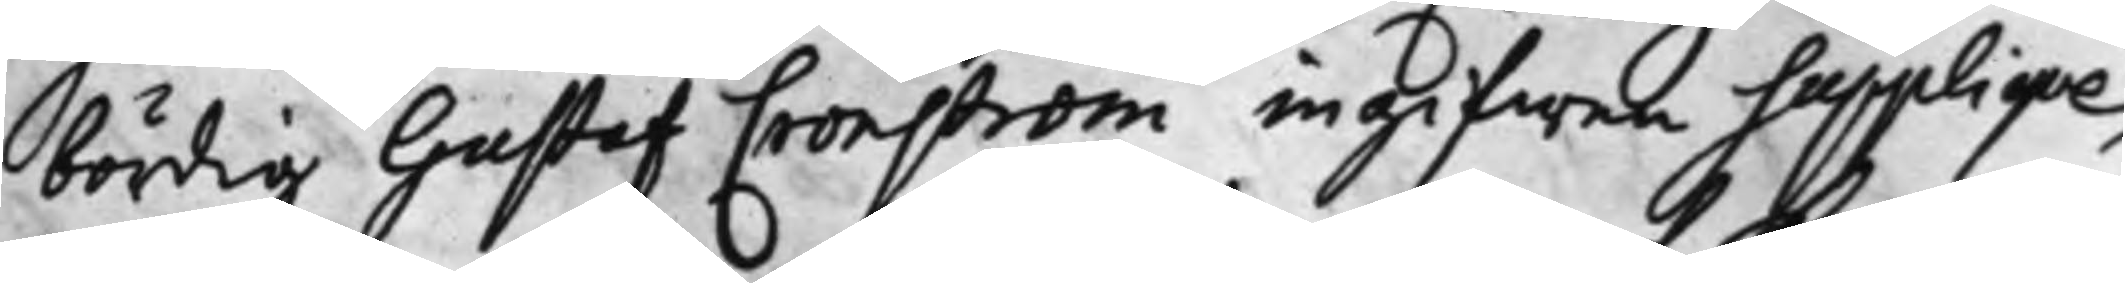bördig Gustaf Cronström ingifwen Suppliqve,
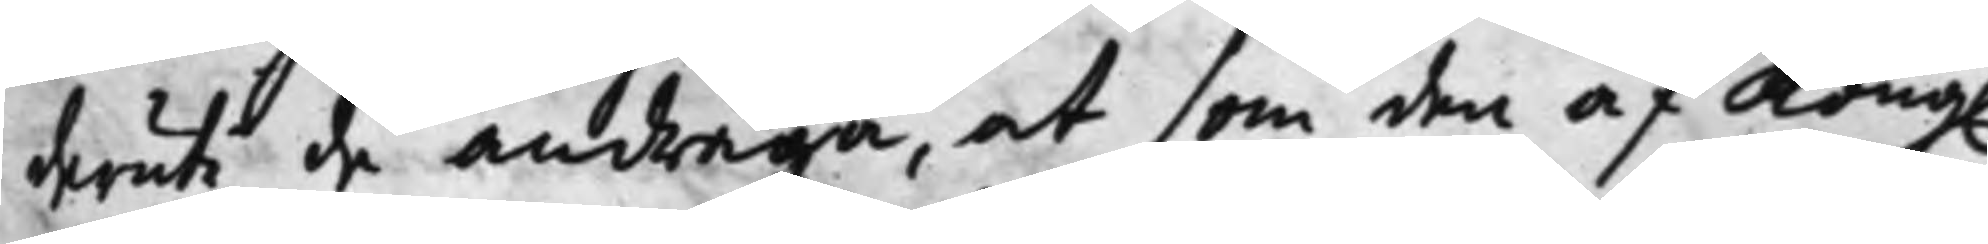deruti de andraga, at som den af Kong. 
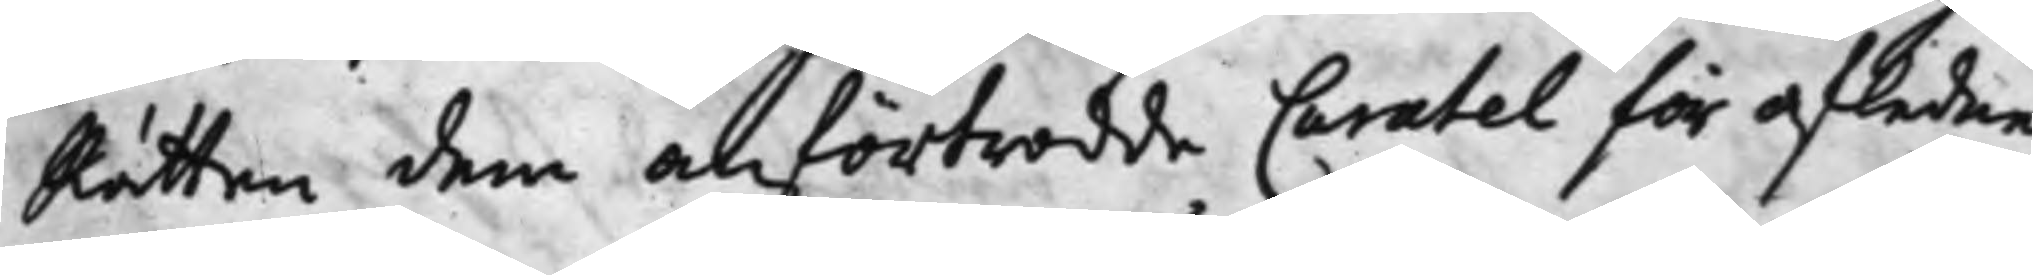Rätten dem anförtrodde Curatel för afledne
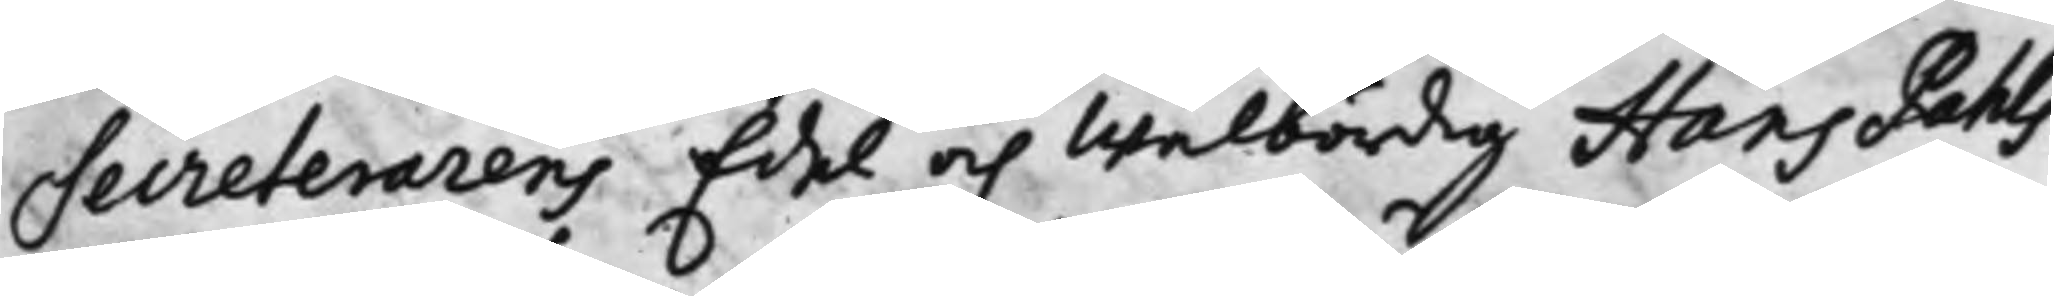Secreterarens Edel och Wälbördig Hans Pahls
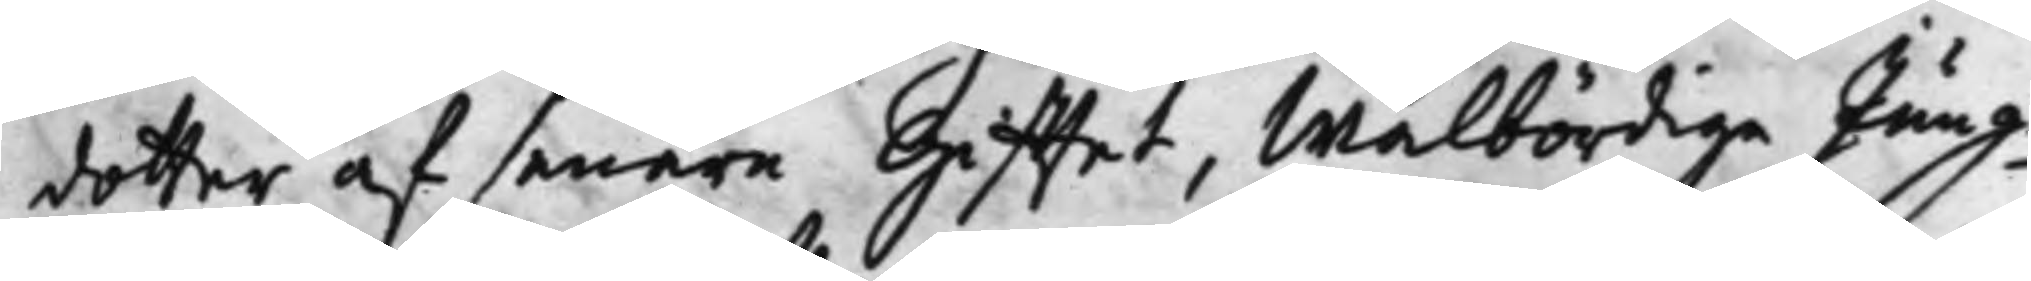dotter af senare Gifftet, Wälbördige Jung¬
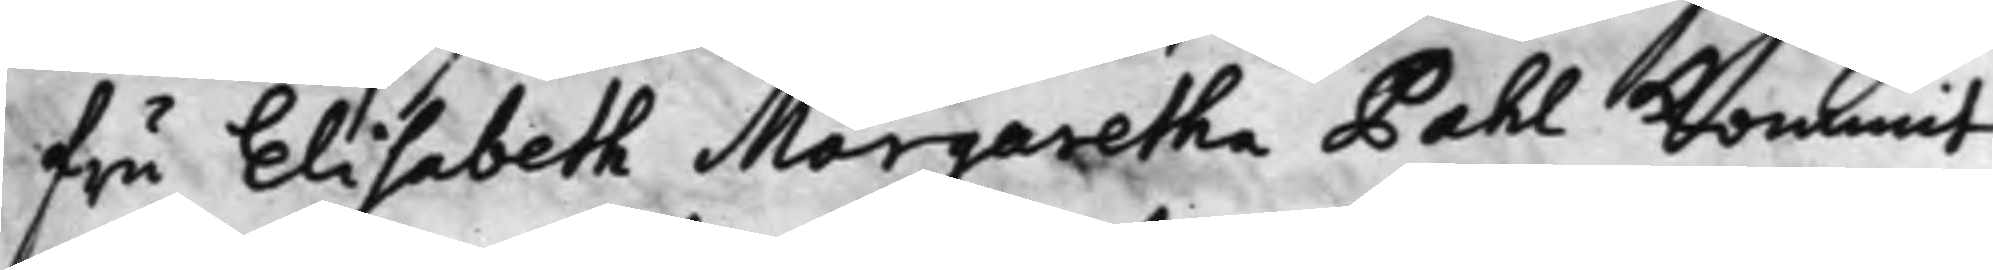fru Elisabeth Morgaretha Pahl Kommit
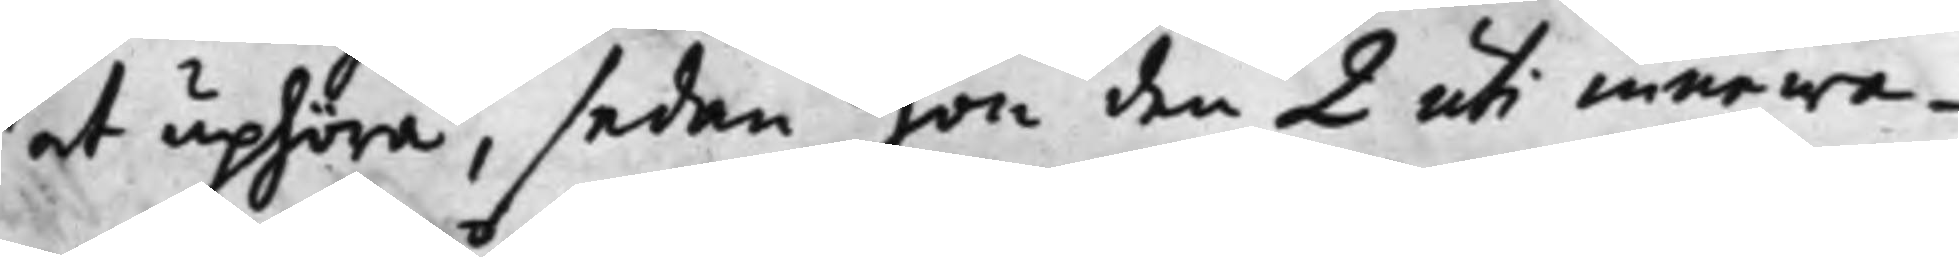at uphöra, sedan hon den 2 uti innewa¬
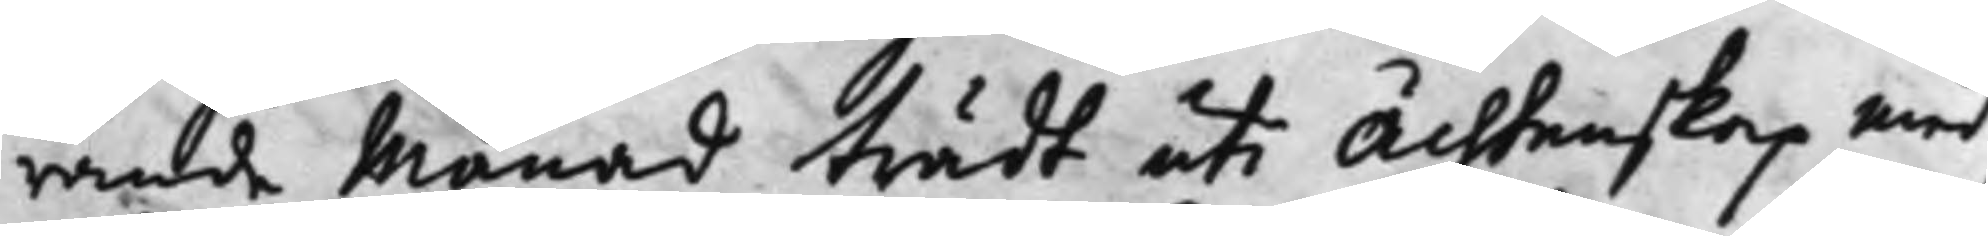rande Månad trädt uti Ächtenskap med
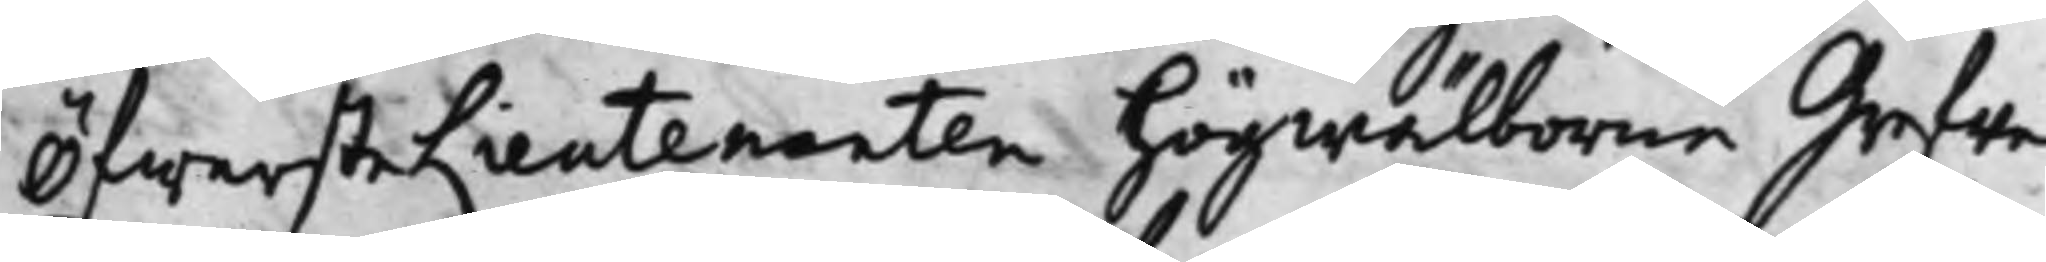ÖfwersteLieutenanten högwälborne Grefwe
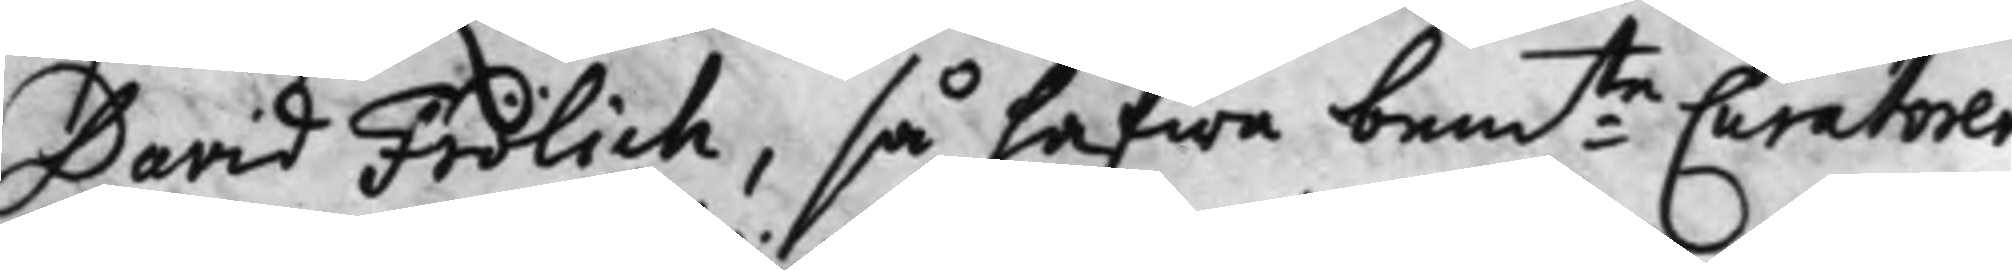David Frölich, så hafwa bem:te Curatorer 
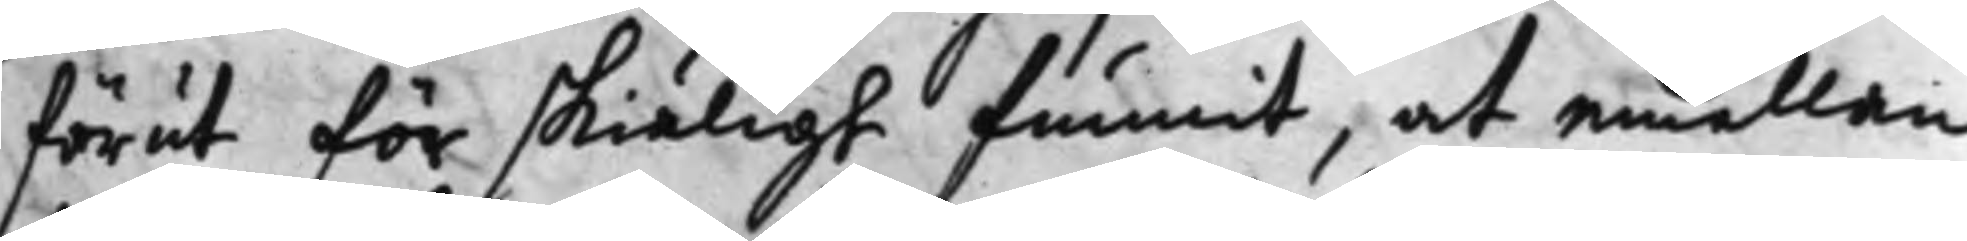förut för skiäligt funnit, at emellan
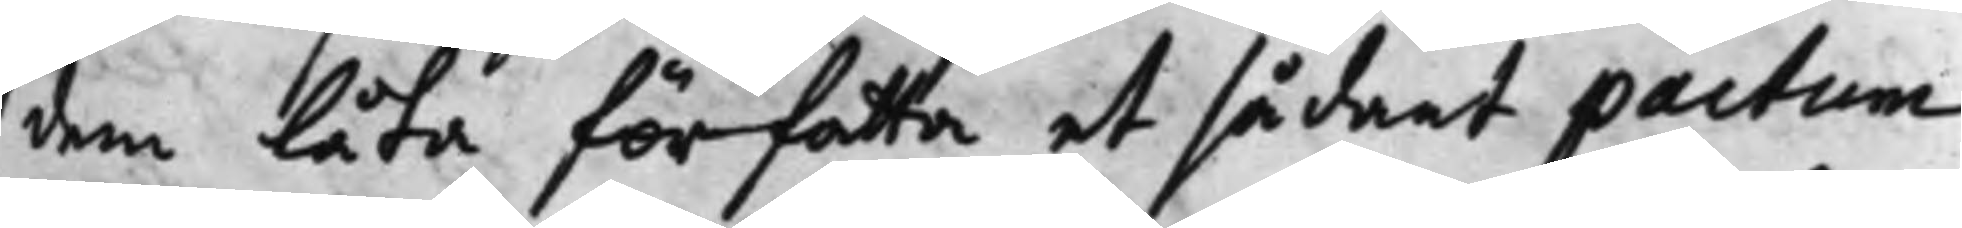dem låta författa et sådant pactum
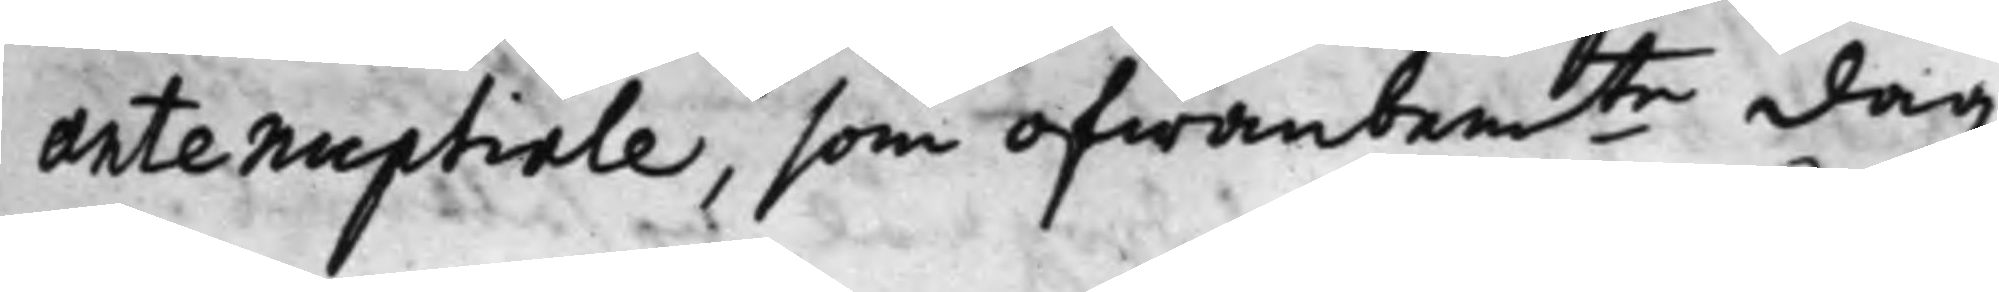antenuptiale, som ofwanbem.te dag 
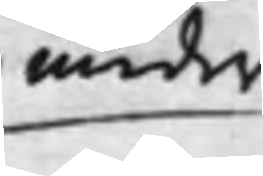under
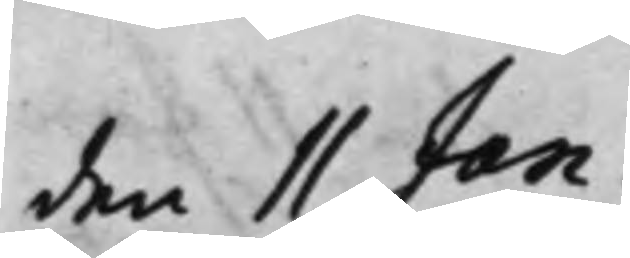den 11 Jan.
